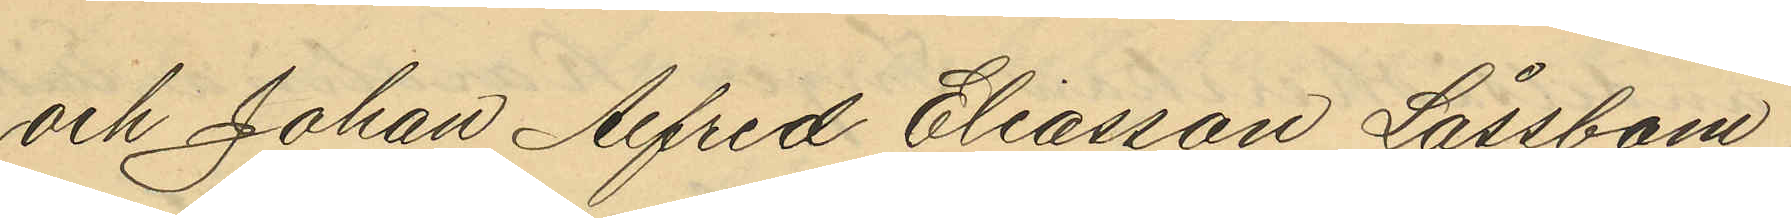och Johan Alfred Eliasson Låssbom
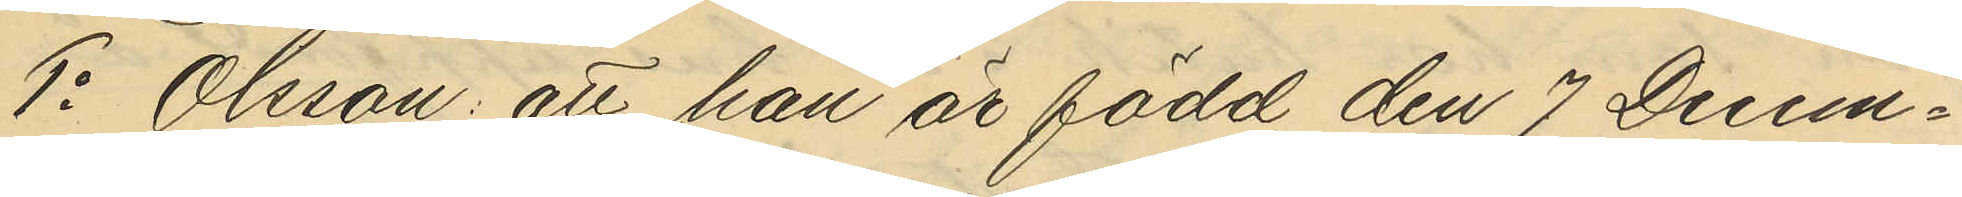1o Olsson: att han är född den 7 Decem¬
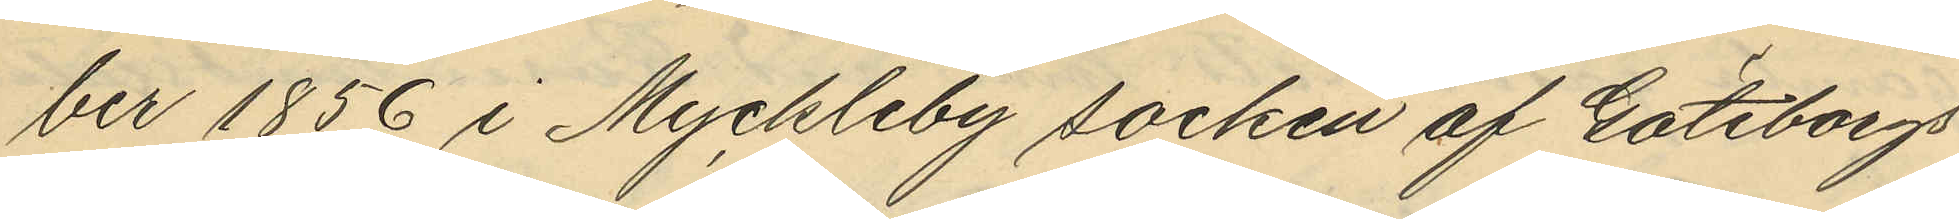ber 1856 i Myckleby socken af Göteborgs
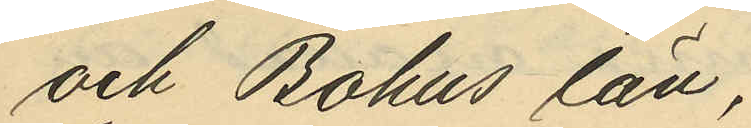och Bohus län,
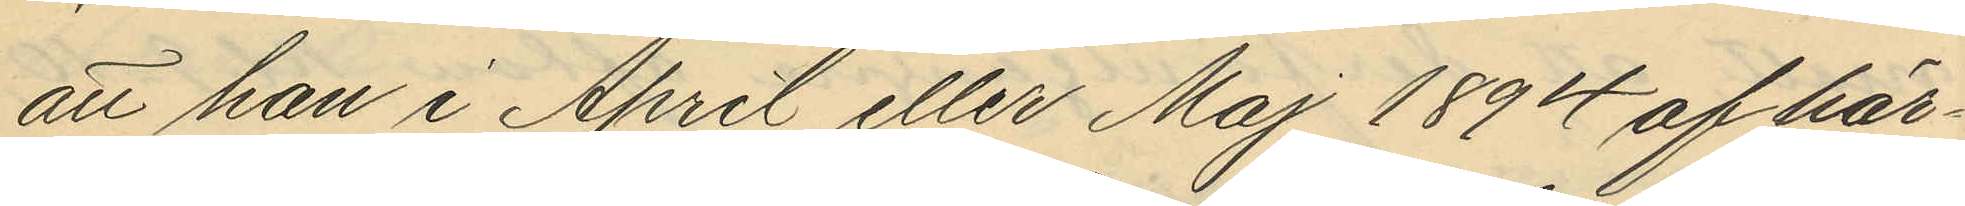att han i April eller Maj 1894 af här¬
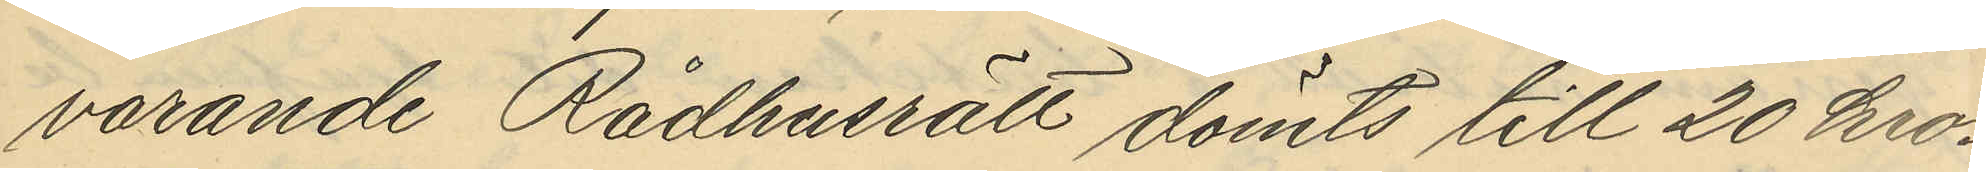varande Rådhusrätt dömts till 20 kro¬
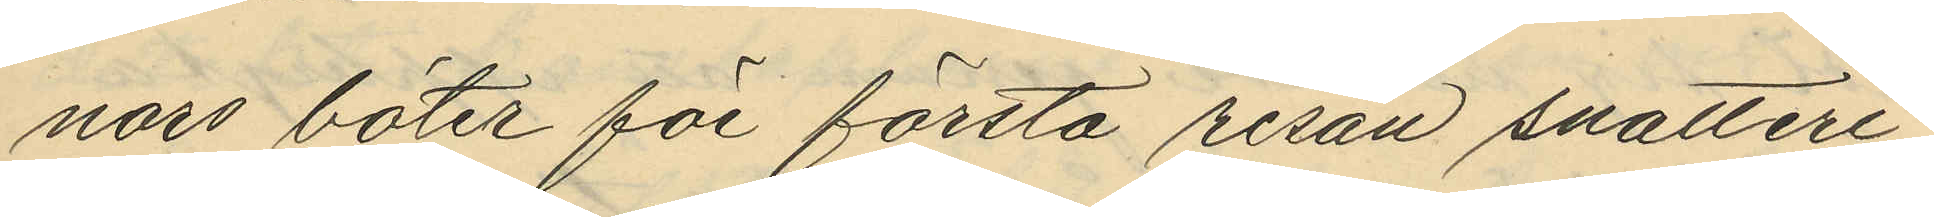nors böter för första resan snatteri
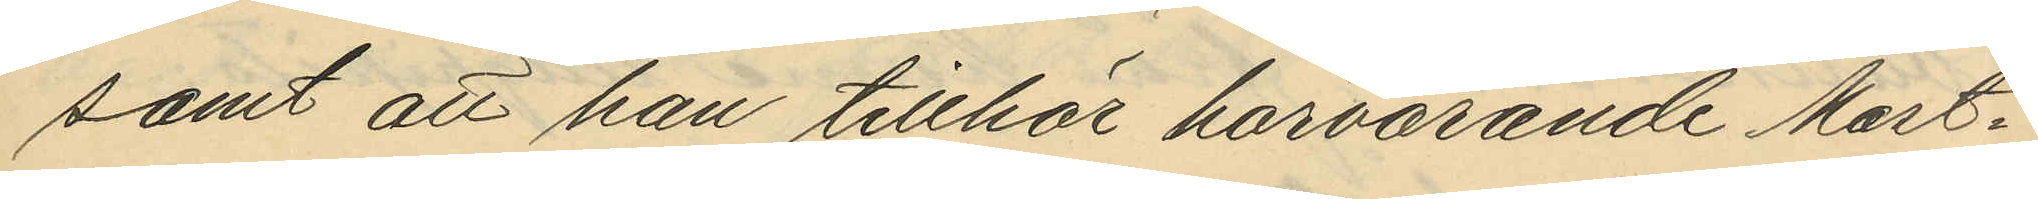samt att han tillhör härvarande Mast¬
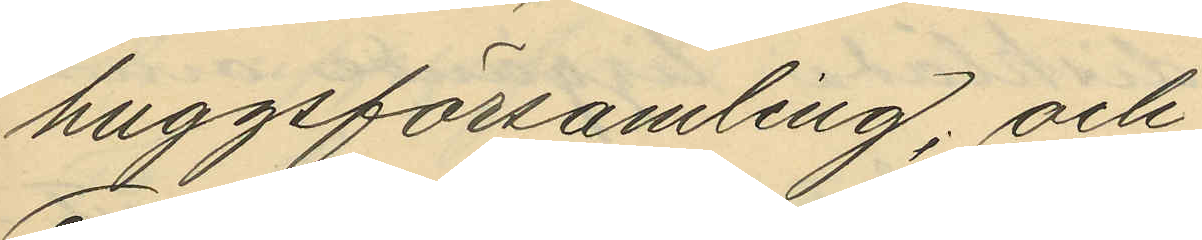huggsförsamling; och
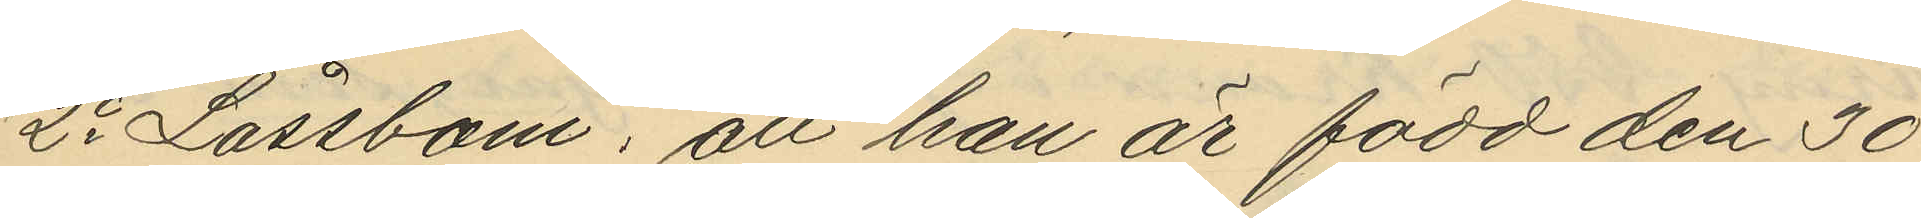2o Låssbom: att han är född den 30
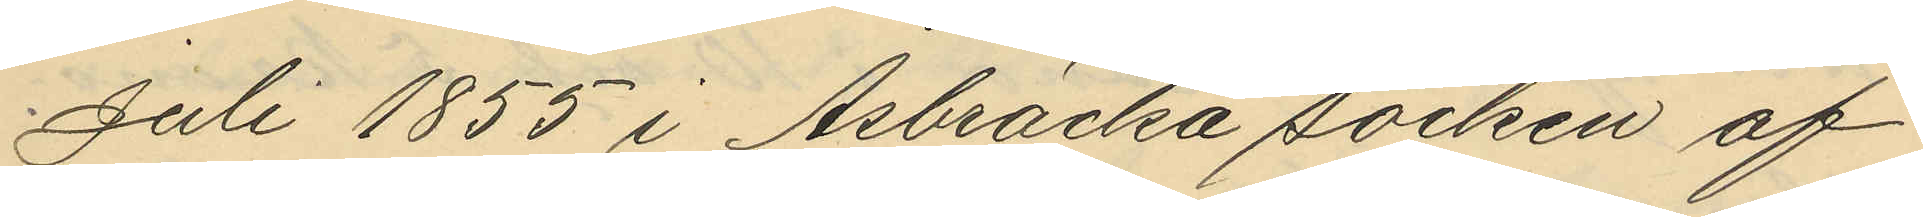Juli 1855 i Åsbräcka socken af
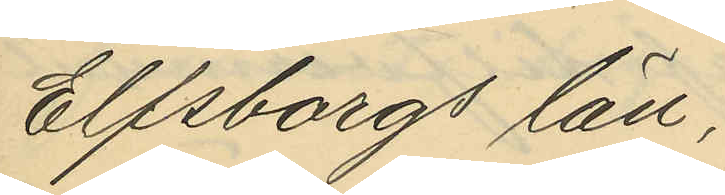Elfsborgs län;
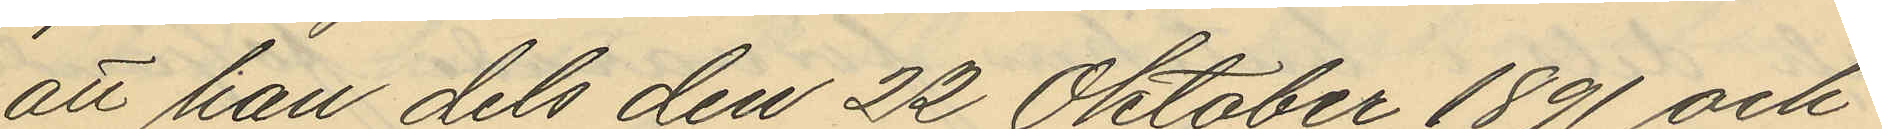att han dels den 22 Oktober 1891 och
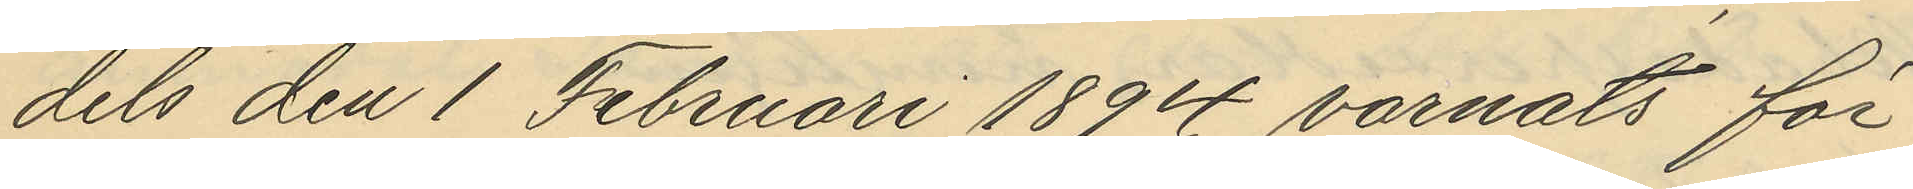dels den 1 Februari 1894 varnats för
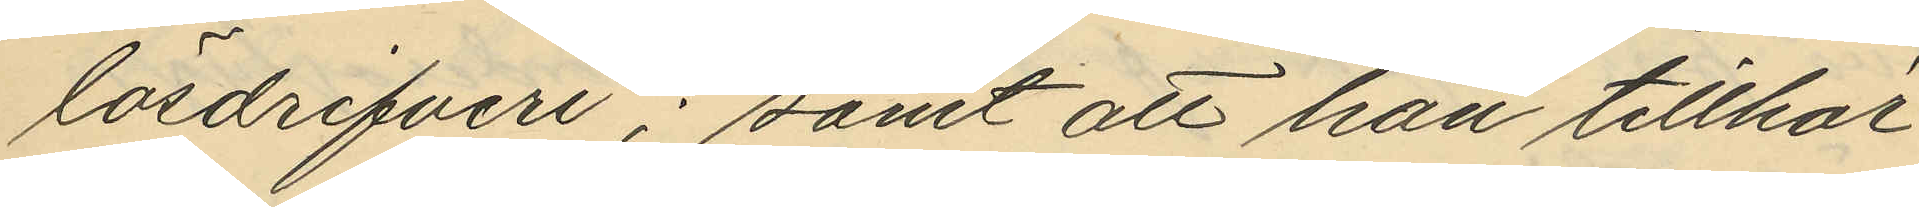lösdrifveri; samt att han tillhör
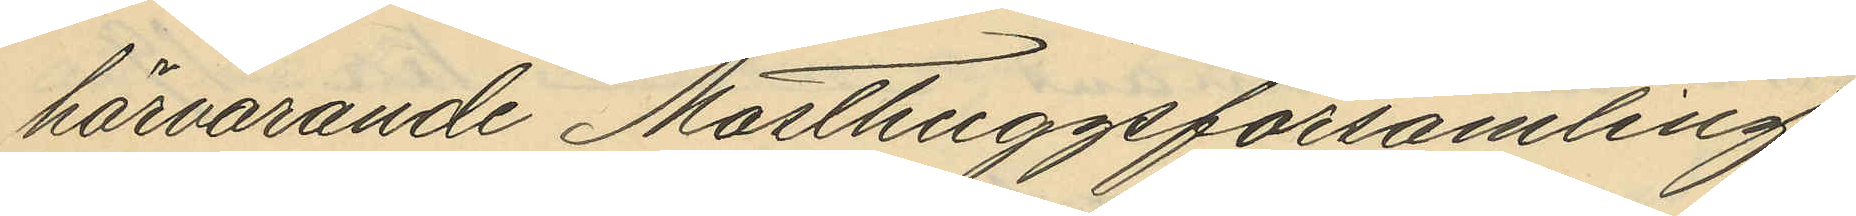härvarande Masthuggsförsamling.
